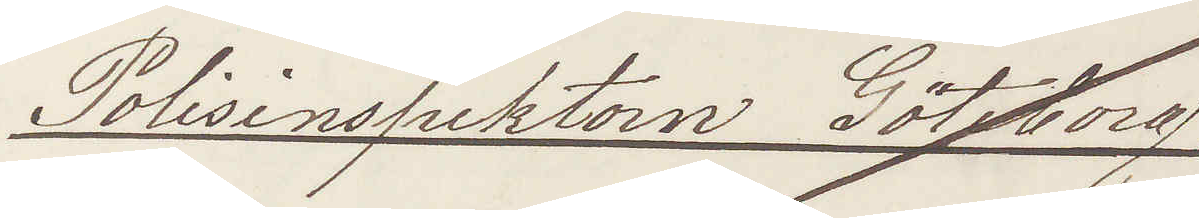Polisinspektorn Göteborg
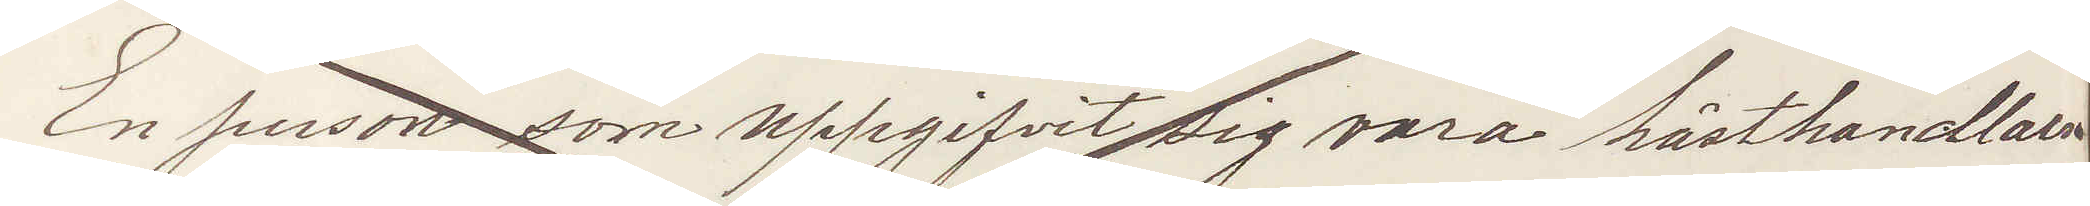En person som uppgifvit sig vara hästhandlare
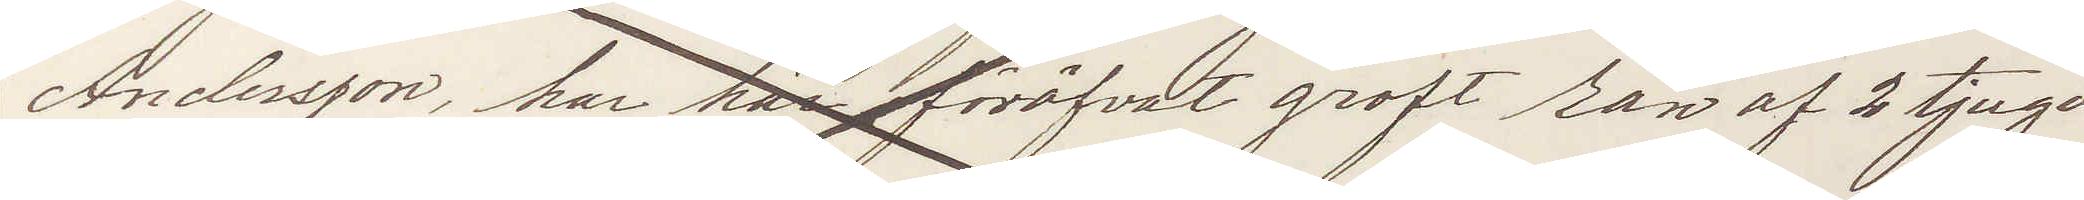Andersson, har här föröfvat groft rån af 2 tjugo
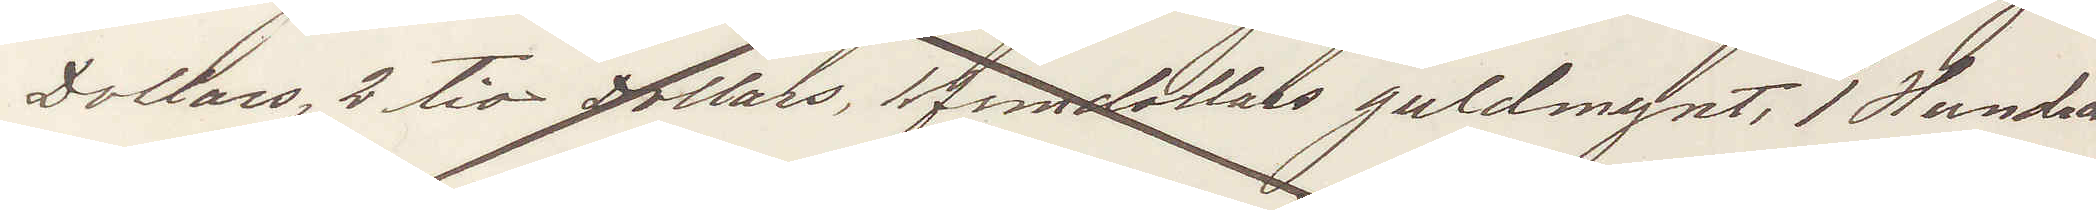Dollars 2, tio Dollars, 11 femdollars guldmynt, 1 Hundra
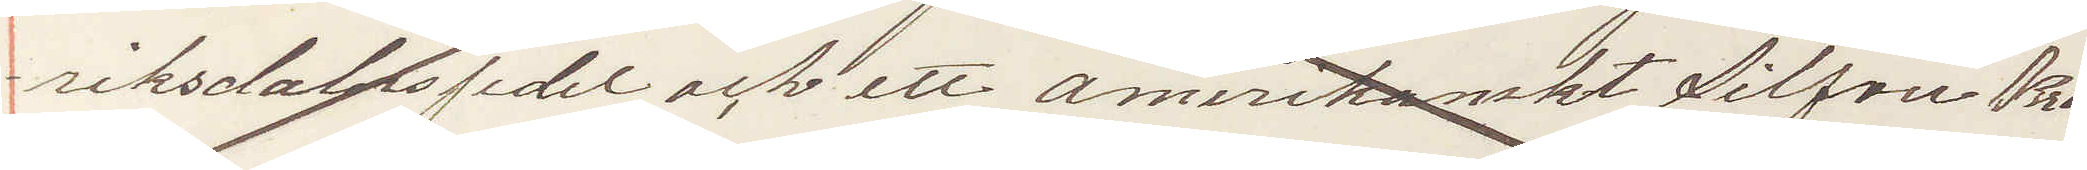riksdalers sedel och ett amerikanskt Silfver Kro¬
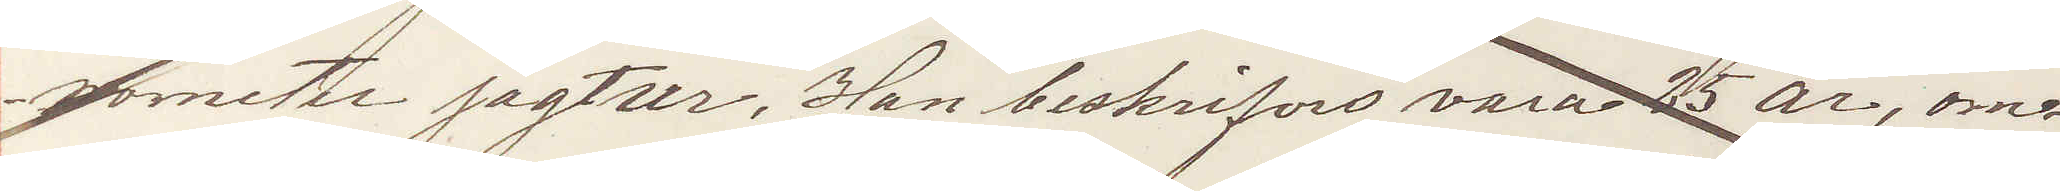nometer jagtur. Han beskrifves vara 25 år, om¬
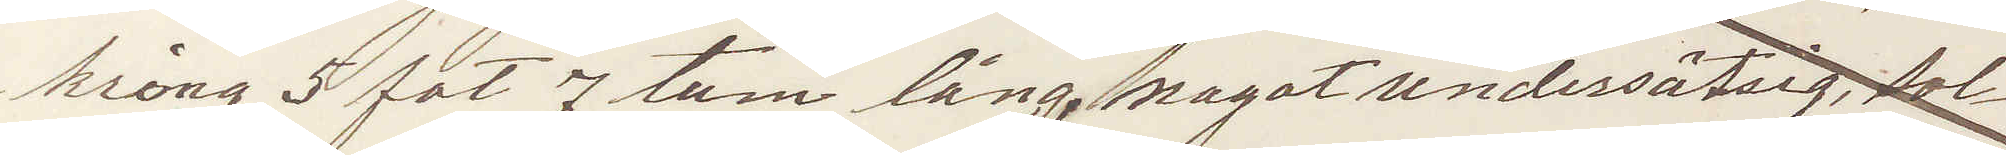kring 5 fot 7 tum lång, nagot undersätsig, sol¬
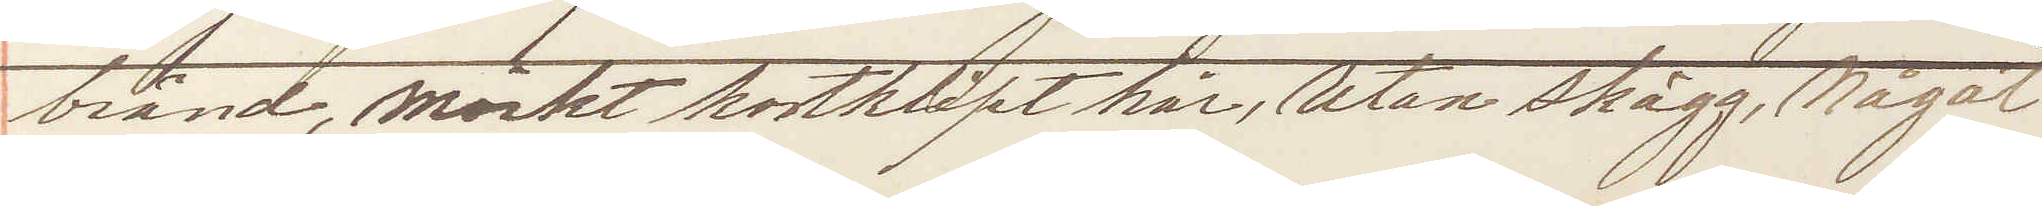bränd, mörkt kortklipt hår, Utan skägg, Något
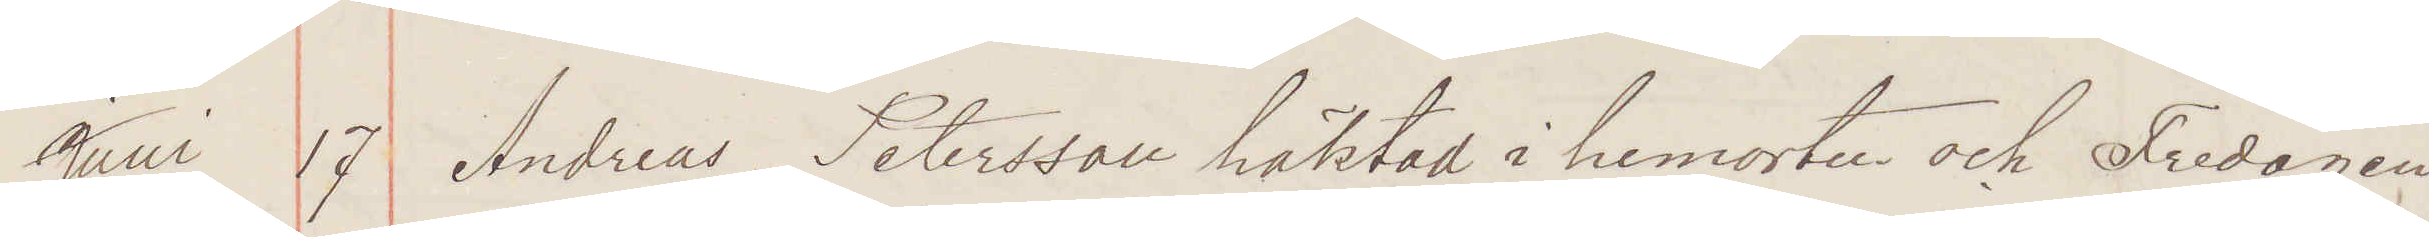Juni 17 Andreas Petersson häktad i hemorten och Fredagen
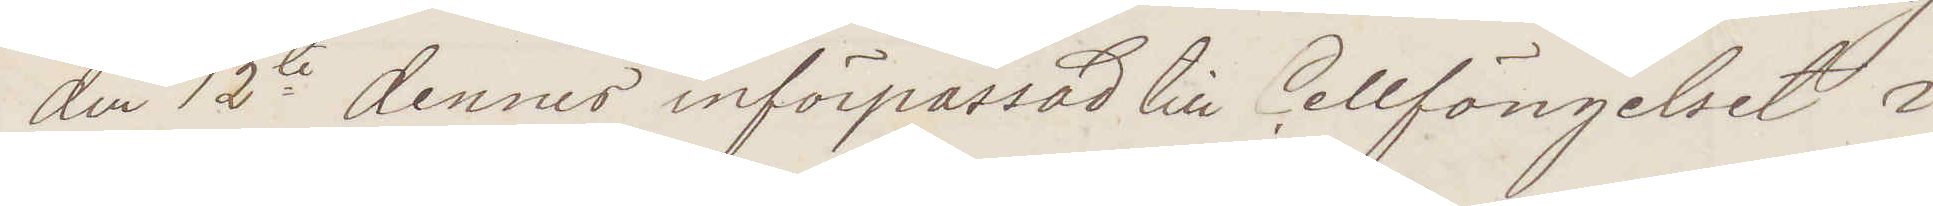den 12te dennes införpassad till Cellfängelset i
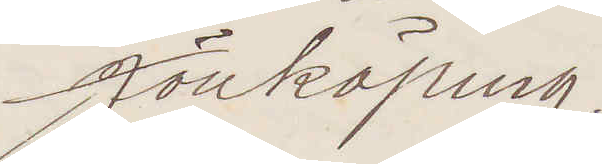Jönköping.
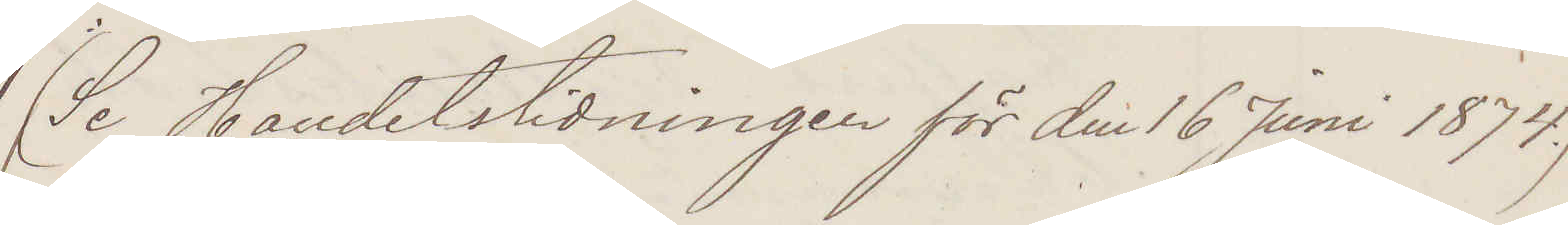(Se Handelstidningen för den 16 Juni 1874.)
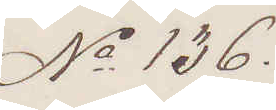No 136.
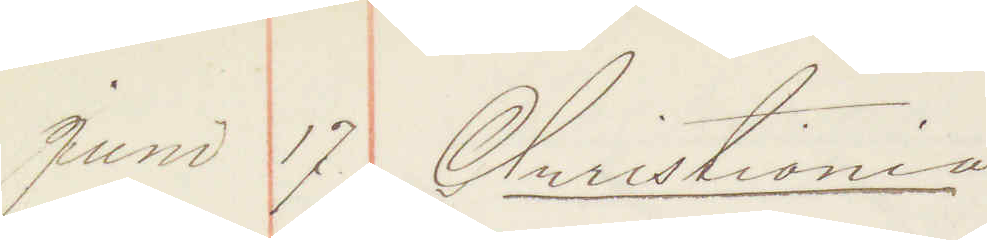Juni 17 Christiania
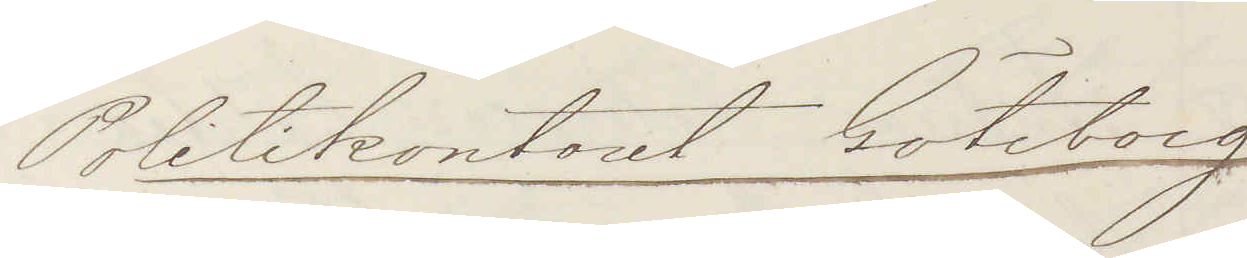Politikontoret Göteborg
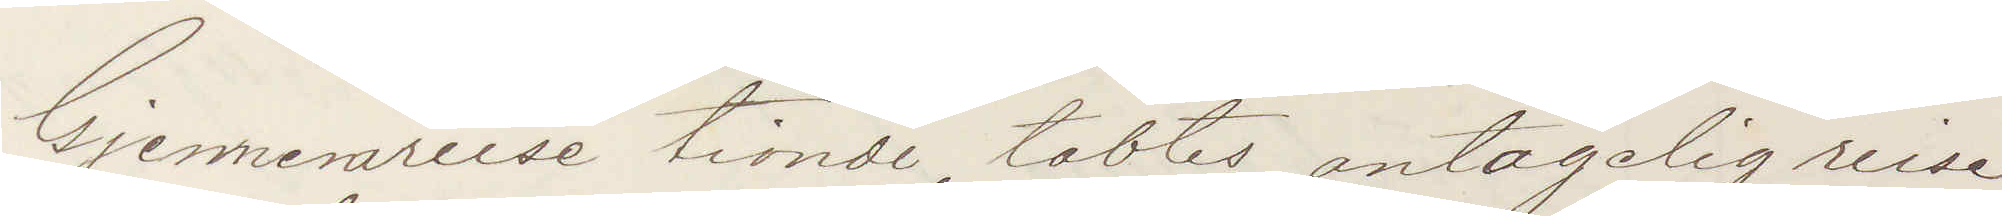Gjennevareise tionde tabtes antagelig reise¬
